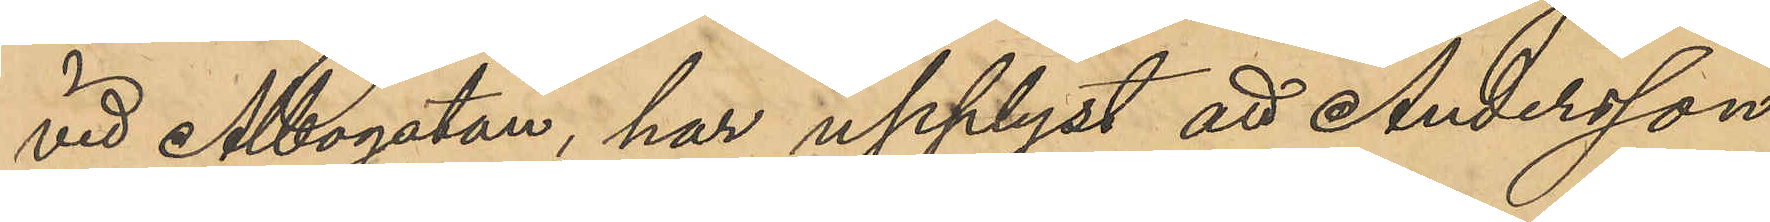vid Albogatan, har upplyst att Andersson
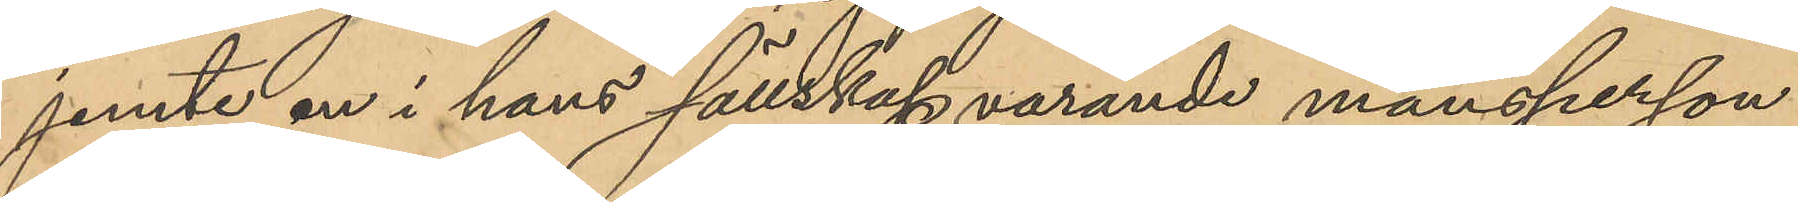jemte en i hans sällskap varande mansperson
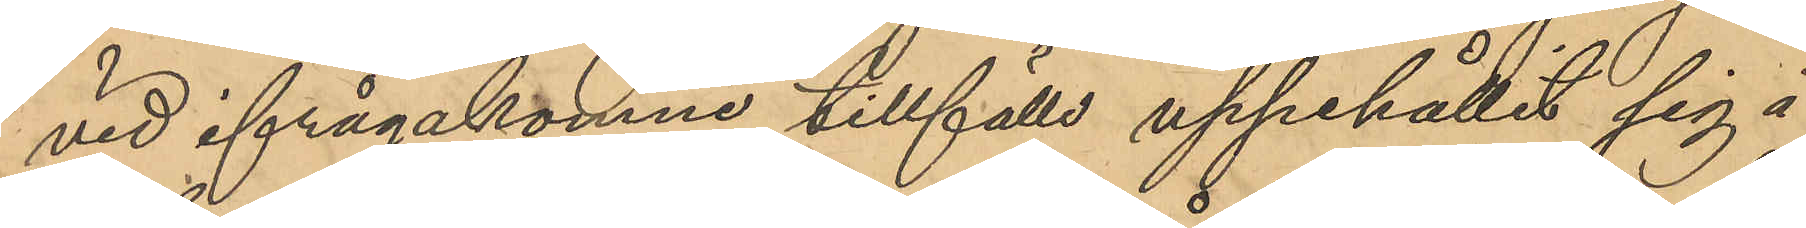vid ifrågakomne tillfälle uppehållit sig å
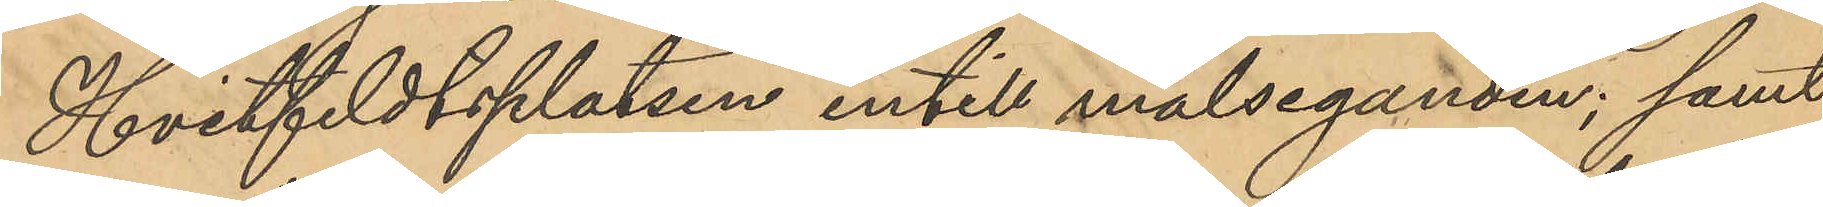Hvitfeldtsplatsen intill målseganden; samt
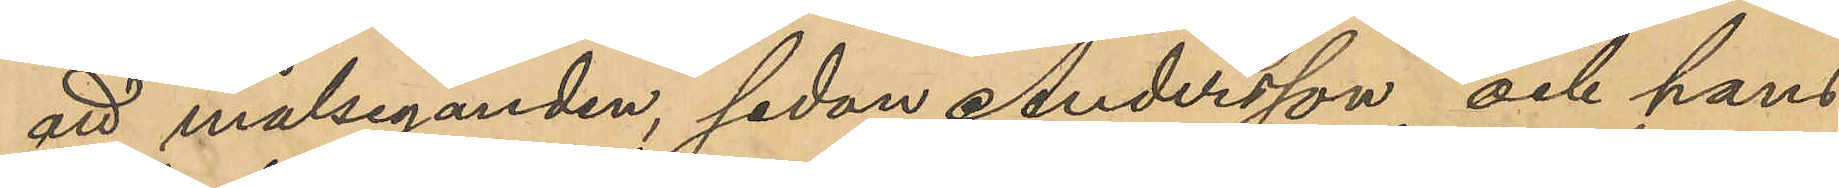att målseganden, sedan Andersson och hans
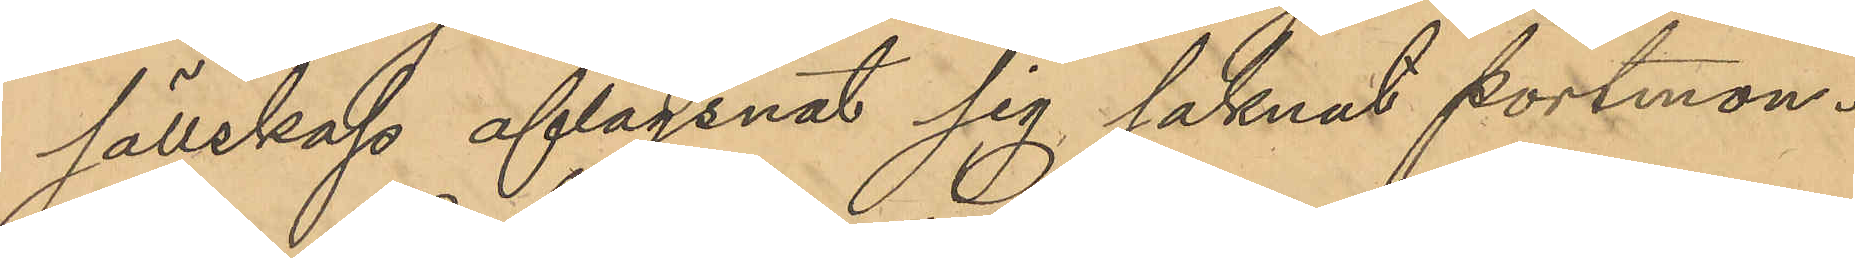sällskap aflägsnat sig saknat portmon¬
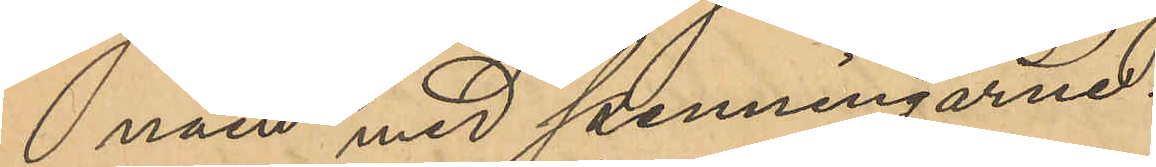näen med penningarne.
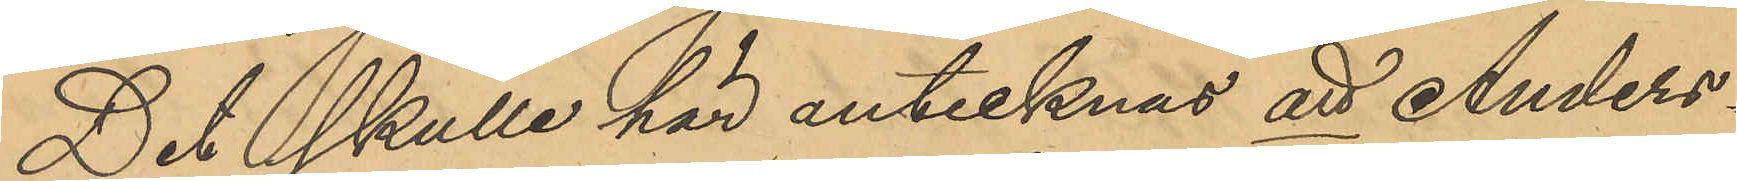Det skulle här antecknas att Anders¬
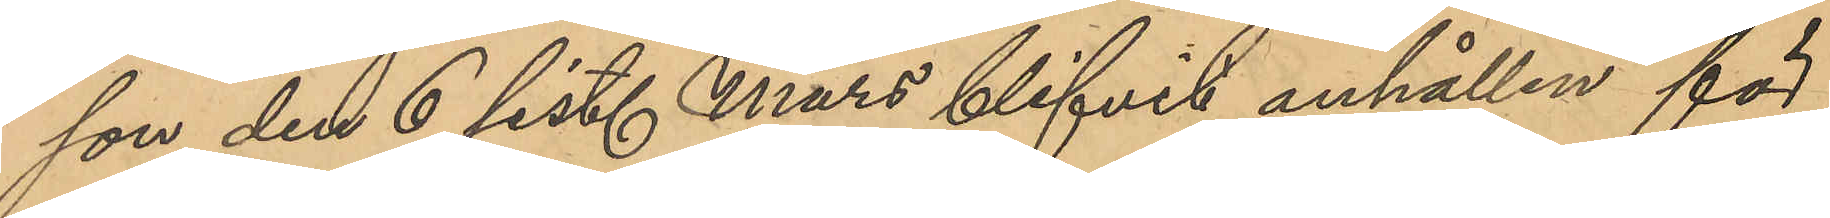son den 6 sist. Mars blifvit anhållen för
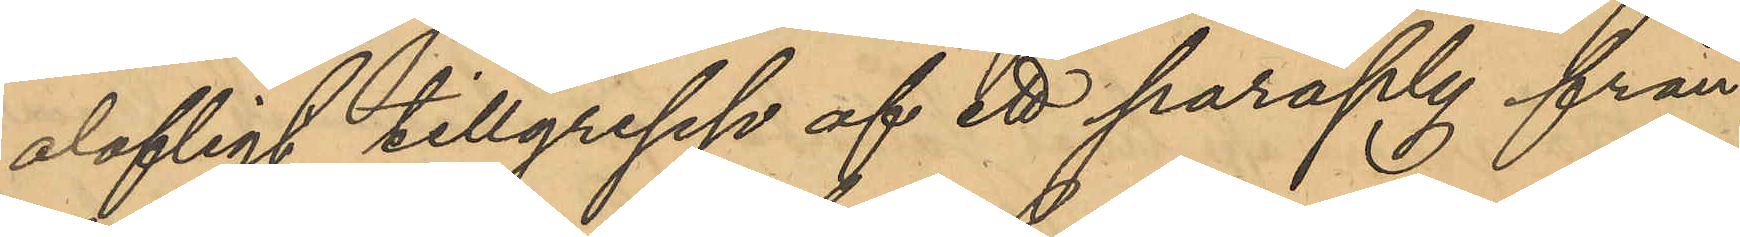olagligt tillgrepp af ett paraply från
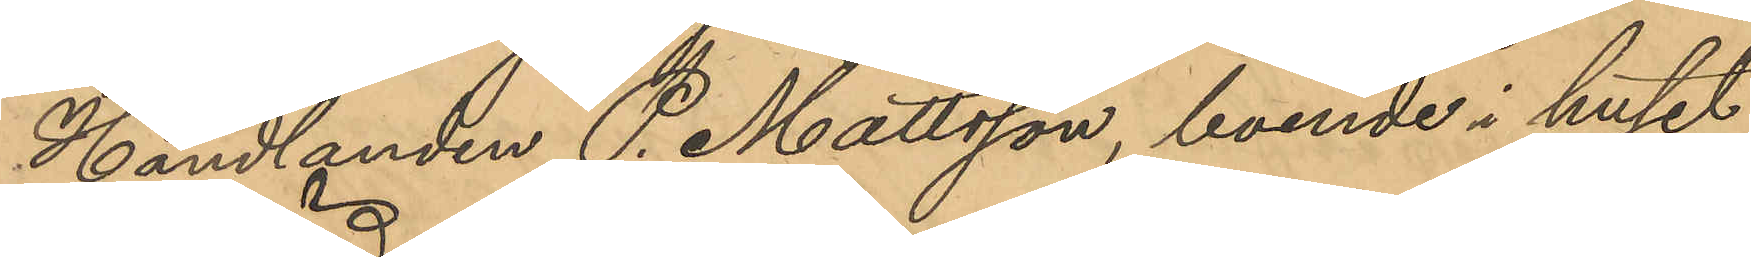Handlanden P. Mattsson, boende i huset
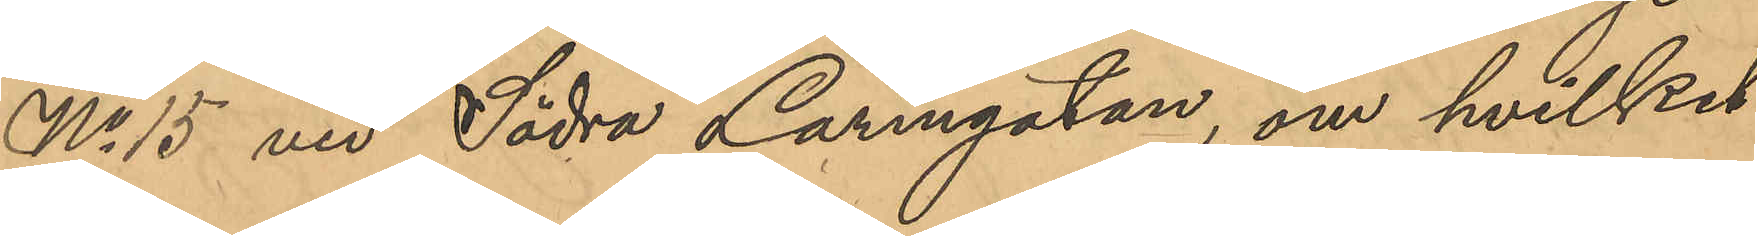No 15 vid Södra Larmgatan, om hvilket
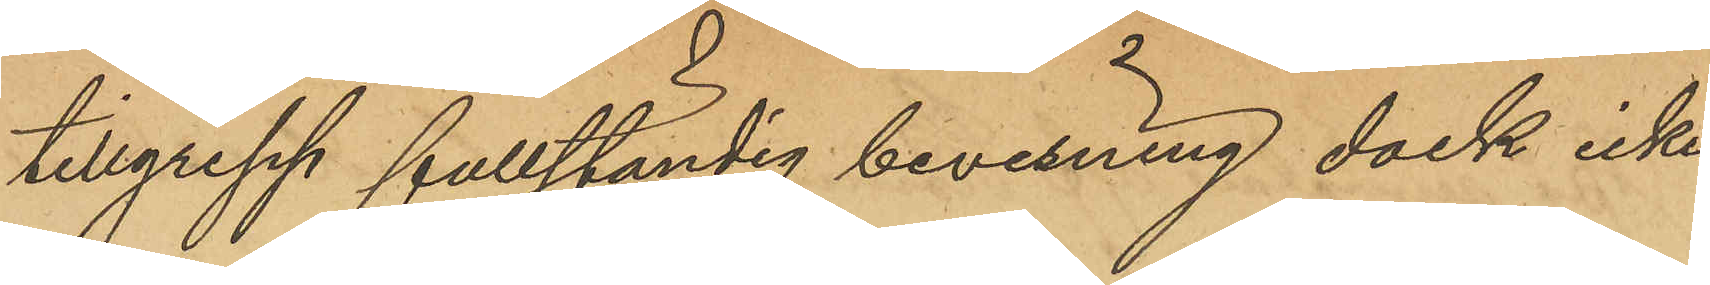tillgrepp fullständig bevisning dock icke
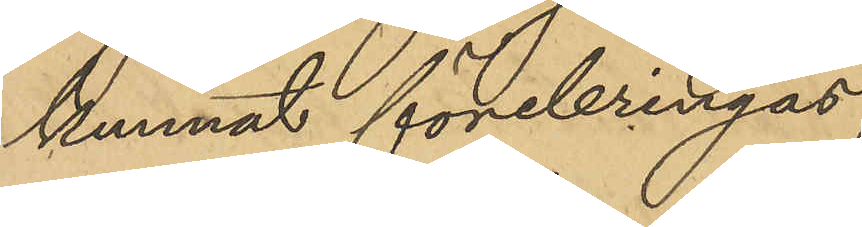kunnat förebringas;
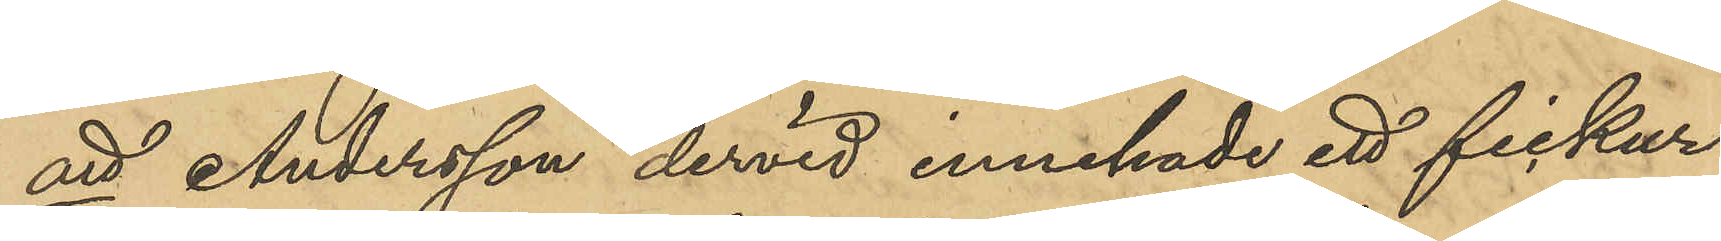att Andersson dervid innehade ett fickur
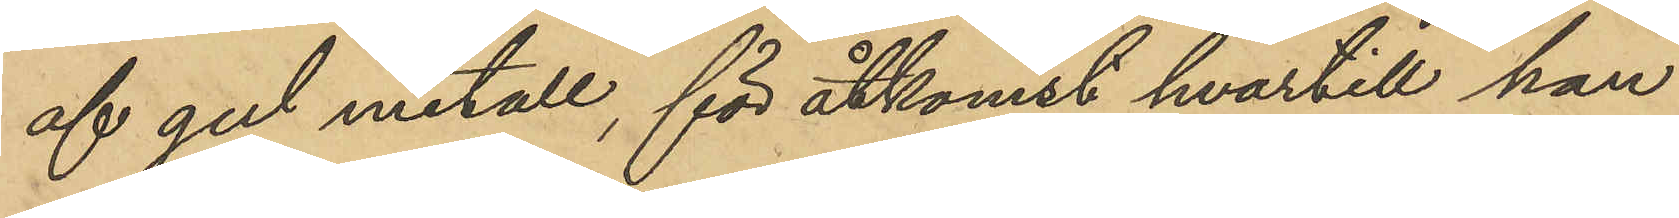af gul metall, för åtkomst hvartill han
